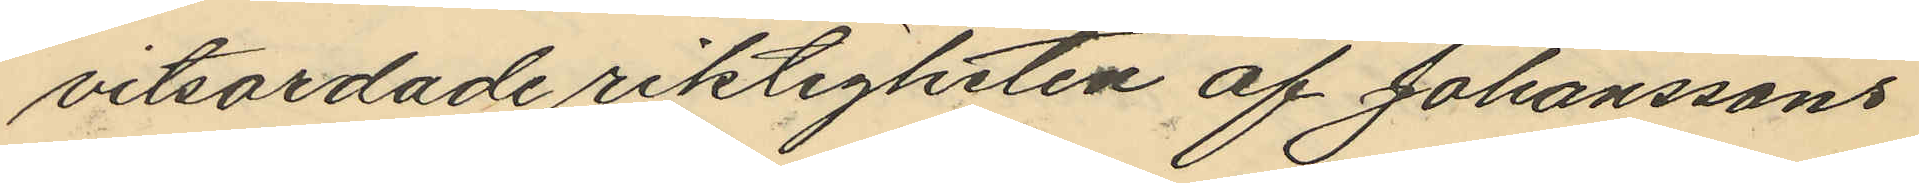vitsordade riktigheten af Johanssons
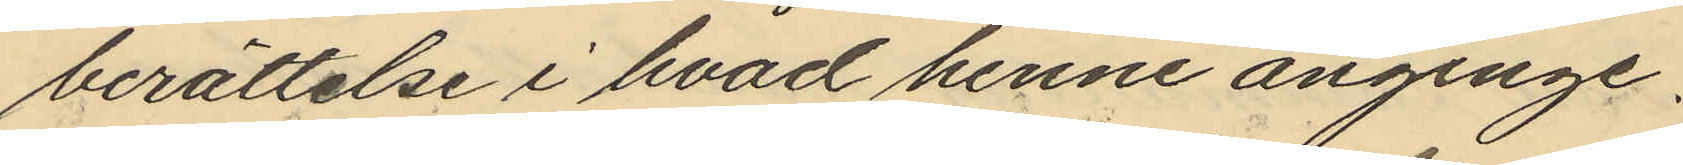berättelse i hvad henne anginge.
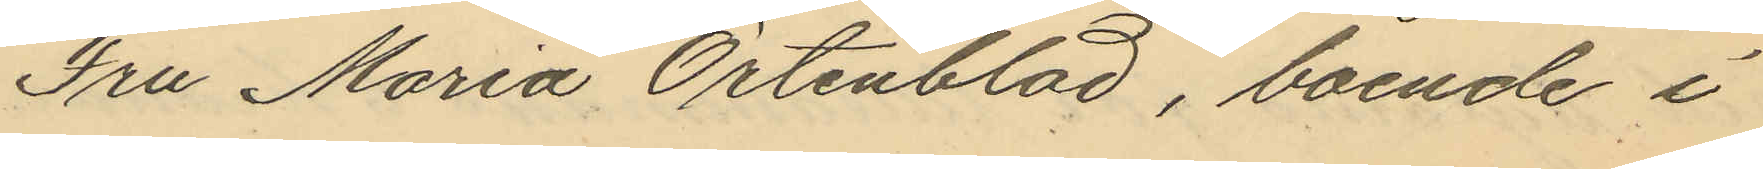Fru Maria Örtenblad, boende i
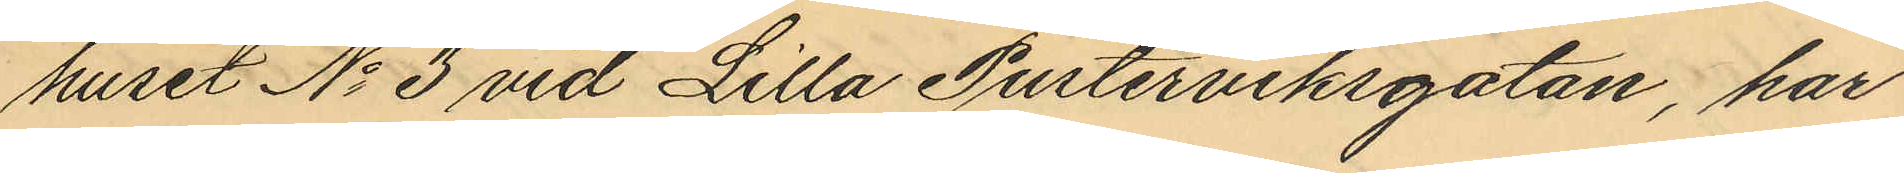huset No 3 vid Lilla Pusterviksgatan, har
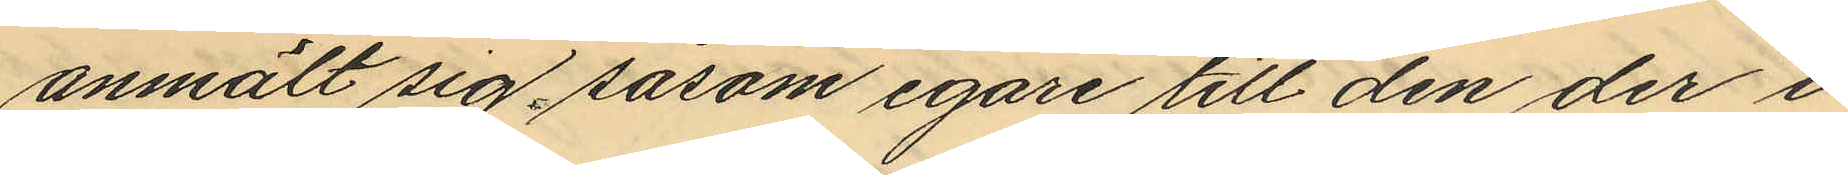anmält sig såsom egare till den der i
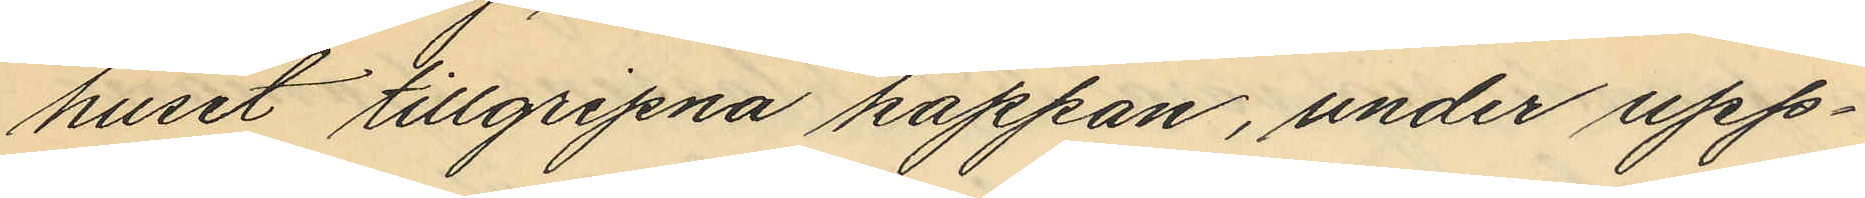huset tillgripna kappan, under upp¬
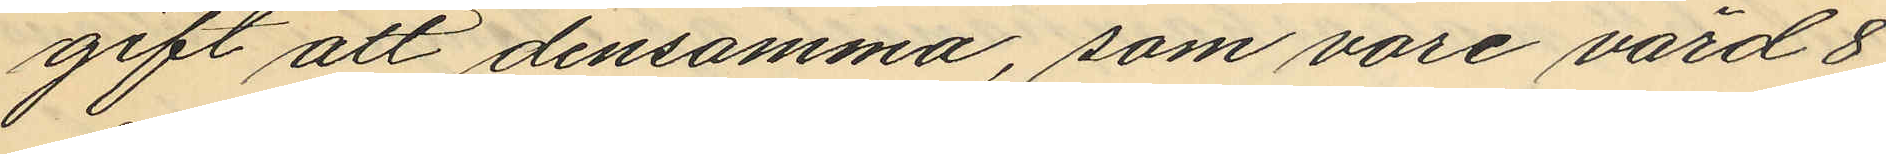gift att densamma, som vore värd 8
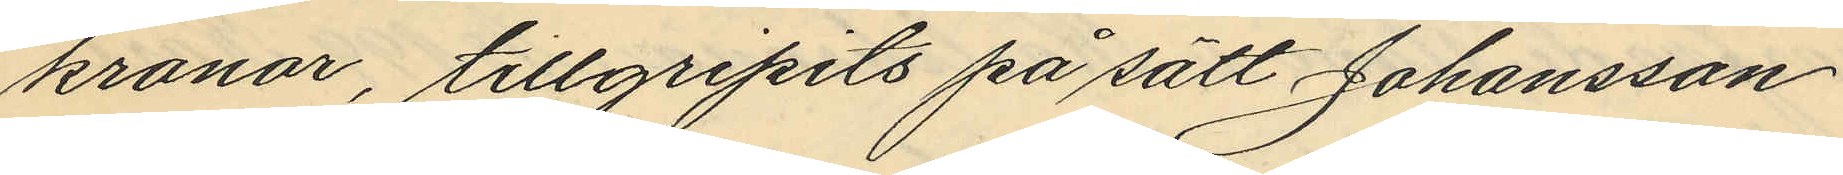kronor, tillgripits på sätt Johansson
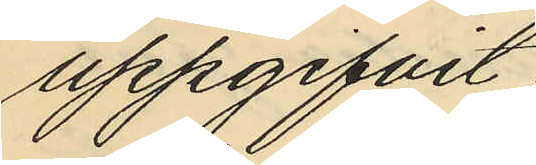uppgifvit.
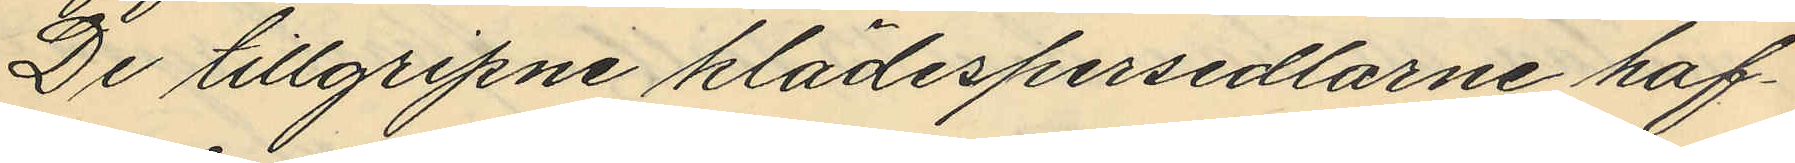De tillgripne klädespersedlarne haf¬
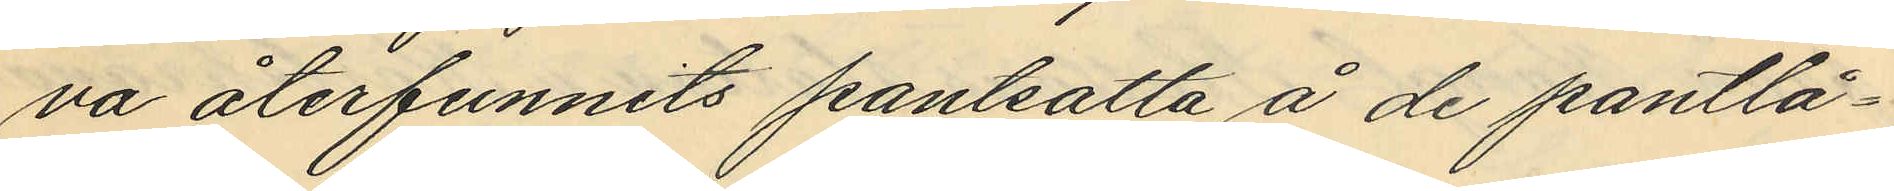va återfunnits pantsatta å de pantlå¬
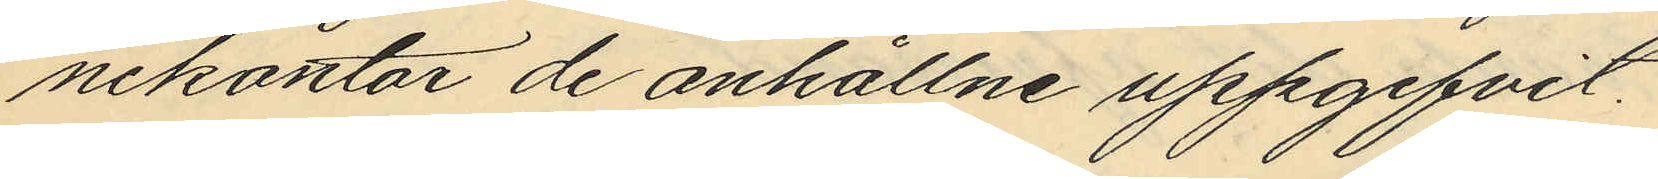nekontor de anhållne uppgifvit.
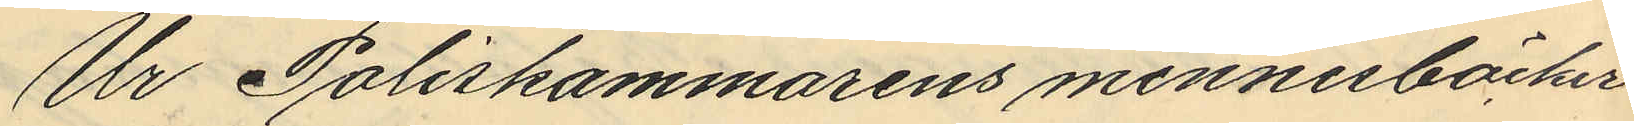Ur Poliskammarens minnesböcker
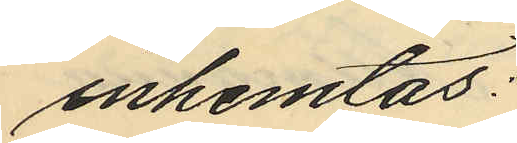inhemtas:
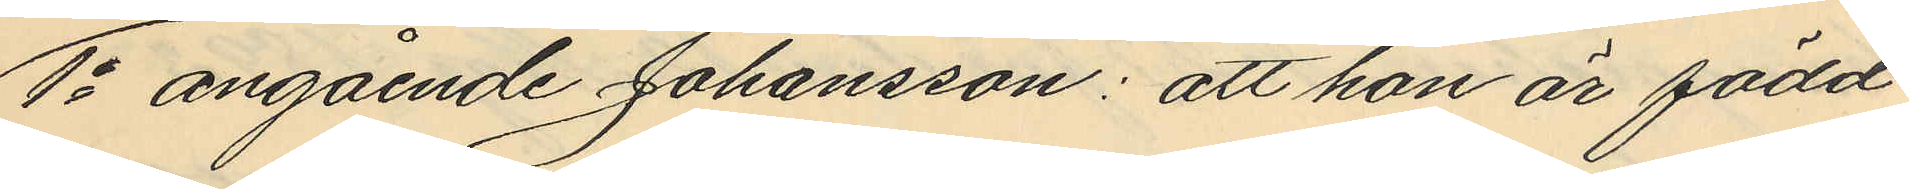1o angående Johansson: att hon är född
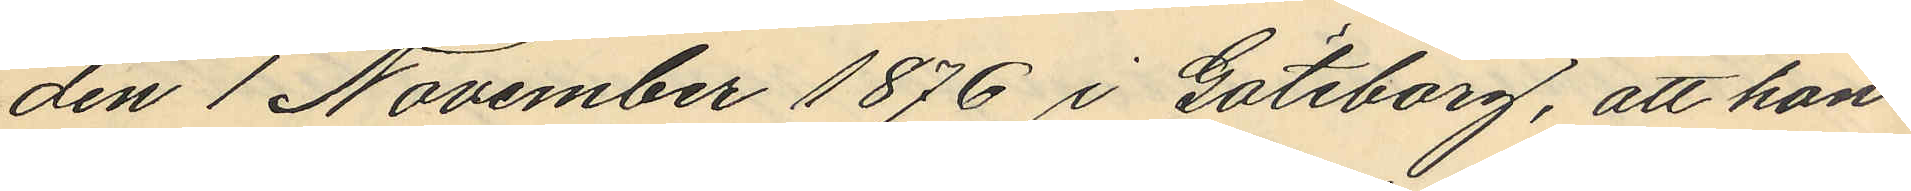den 1 November 1876 i Göteborg, att hon
